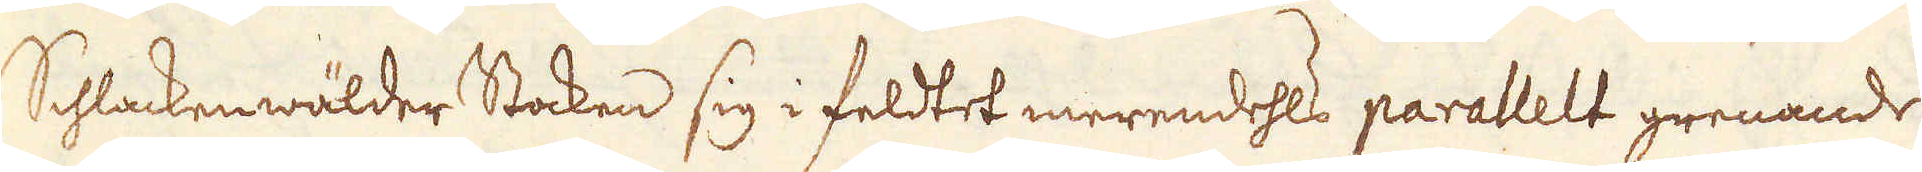Schlackenwälder Stocken sig i feldtet merendehls parallelt grenande
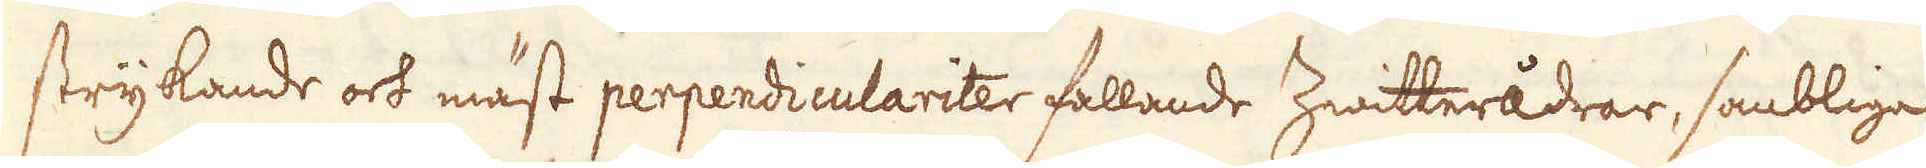strykande och mäst perpendiculariter fallande Zwitterådrar, sambliga
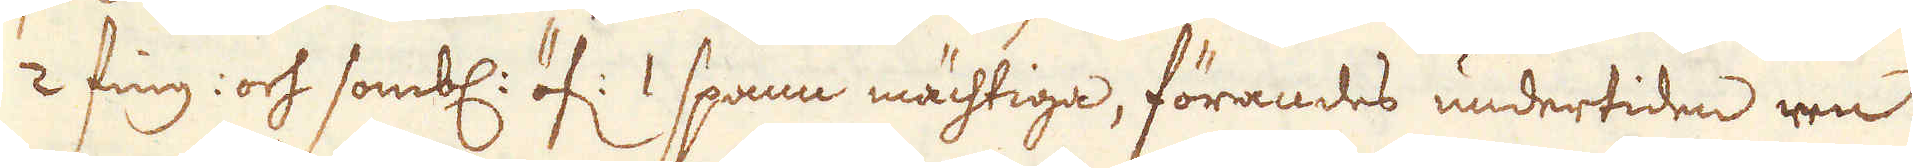2 fing: och sombl: öf: 1 spann mächtiga, förandes undertiden ren
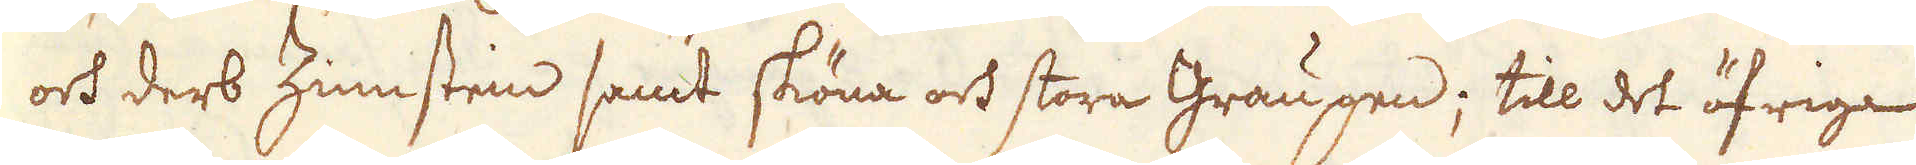och derb Zinnsten samt sköna och stora Graugen; till det öfriga
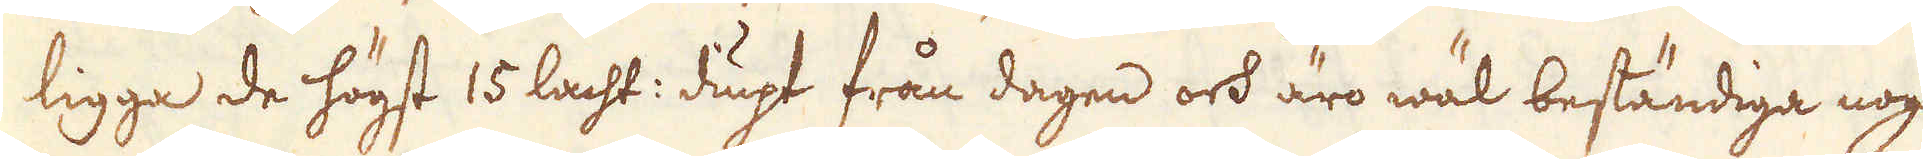ligga de högst 15 lacht: diupt från dagen och äro wäl beständiga nog
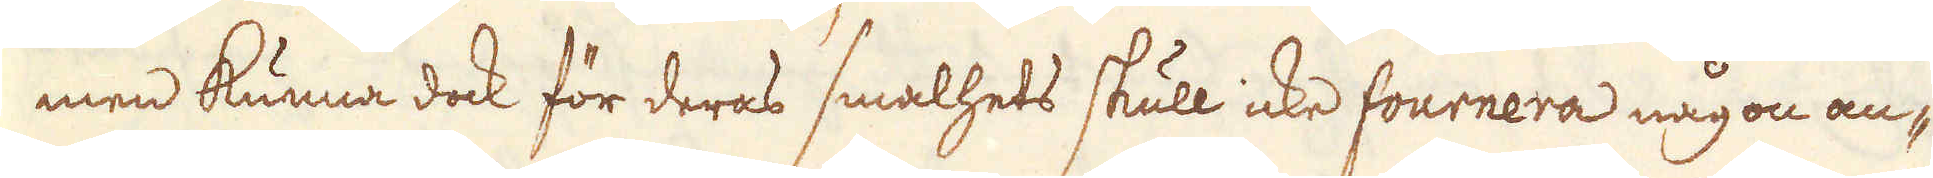men kunna dock för deras smalhets skull icke fournera någon an-
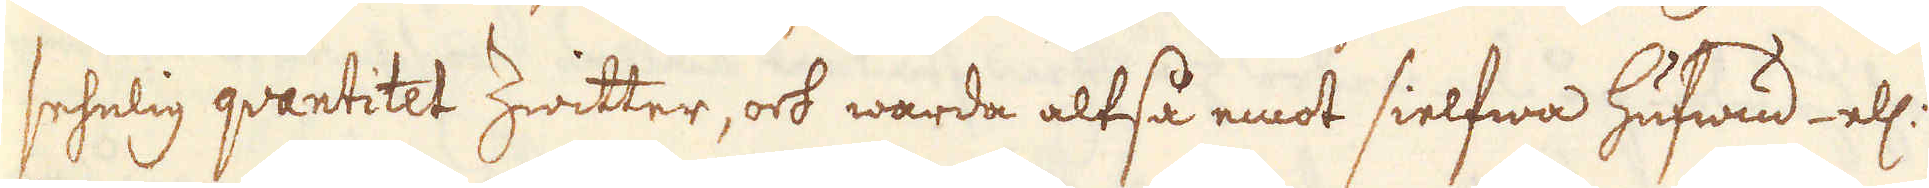sehelig qvantitet Zwitter, och warda altså emot sielfwa hufwud el:
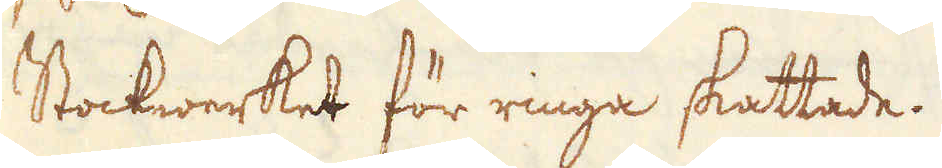Stockwerket för ringa skattade.
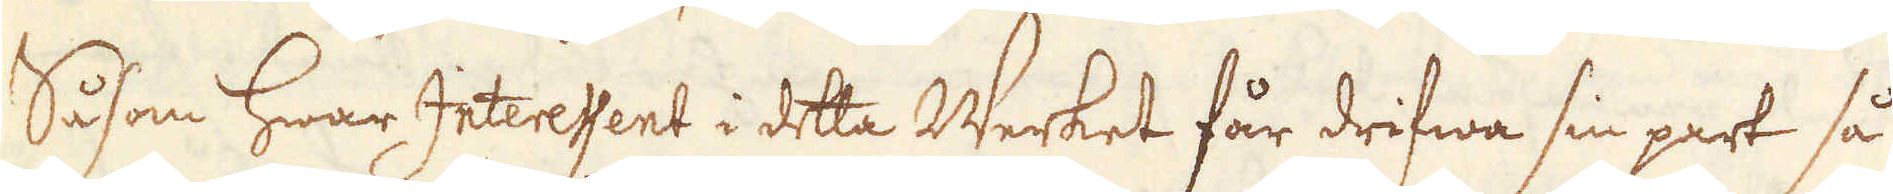Såsom hwar Interessent i detta Werket får drifwa sin part så
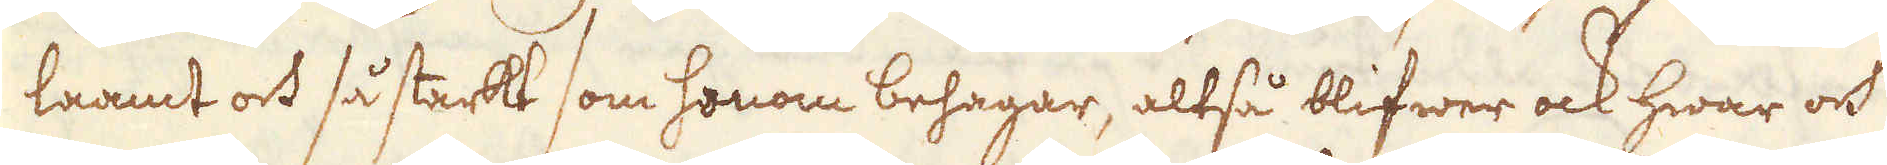laamt och så starkt som honom behagar, altså blifwer ock hwar och
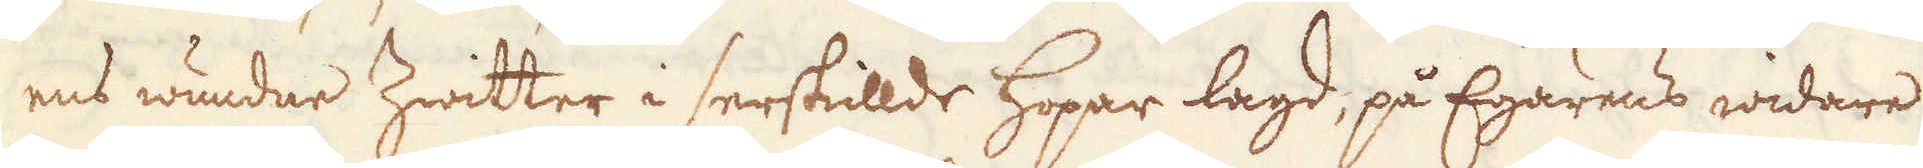ens wundne Zwitter i serskillde hopar lagd, på Egarens widare
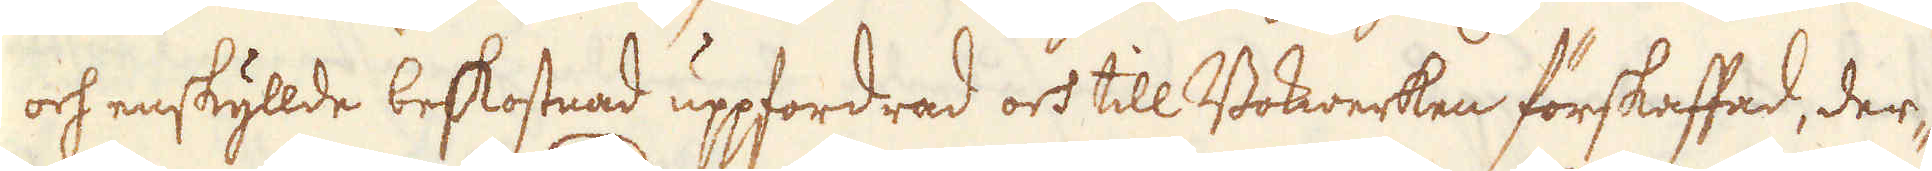och enskyllde beskostnad uppfordrad och till Bokwerken förskaffad, der-
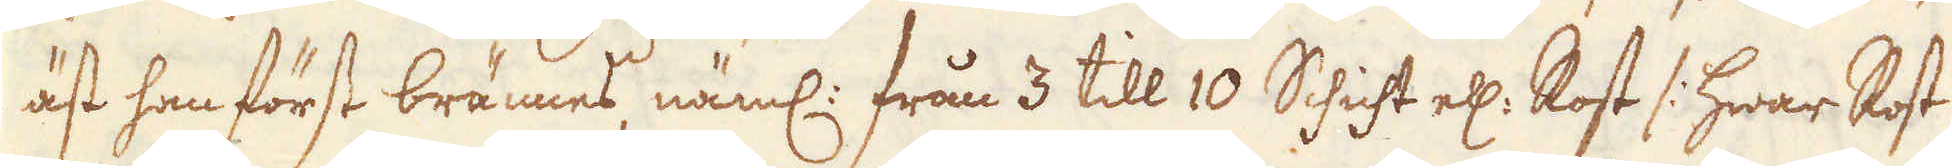äst han först brännes, näml: från 3 till 10 Schicht el: Rost /: hwar Rost
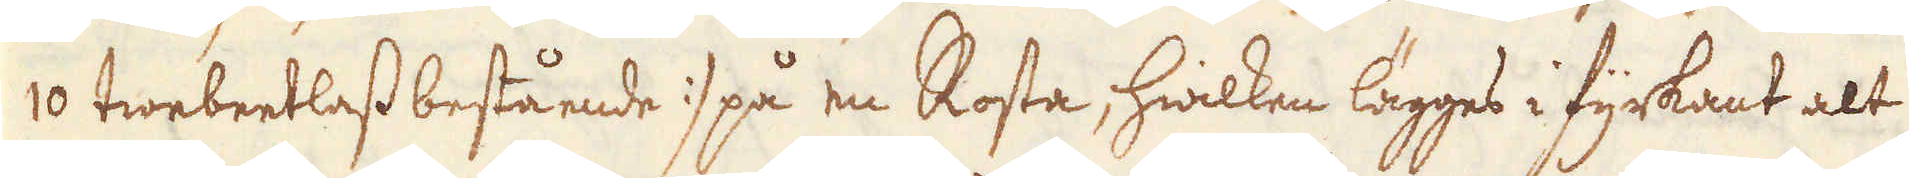10 twebeetlass bestående :/ på en Rosta, hwilken lägges i fyrkant alt
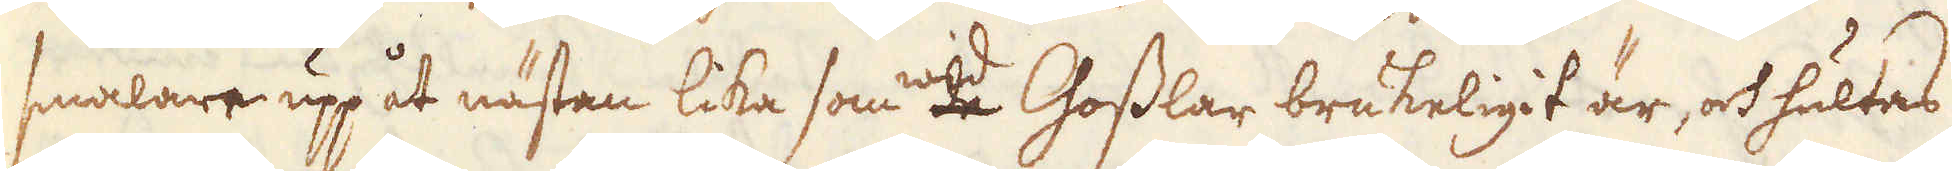smalare upp åt nästan lika som wid Gosslar brukeligit är, och hultas
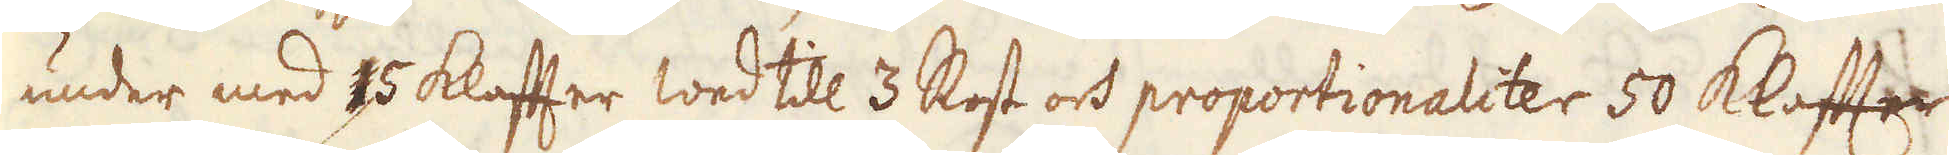under med 15 klafter Wed till 3 Rost och proportionaliter 50 Klaffter
